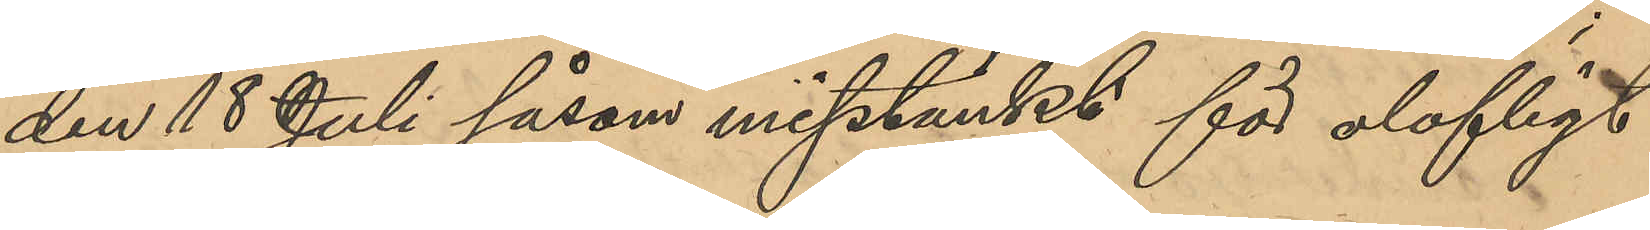den 18 Juli såsom misstänkt för olofligt
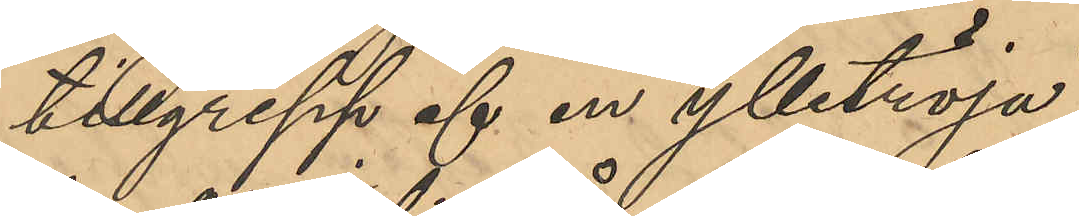tillgrepp af en ylletröja;
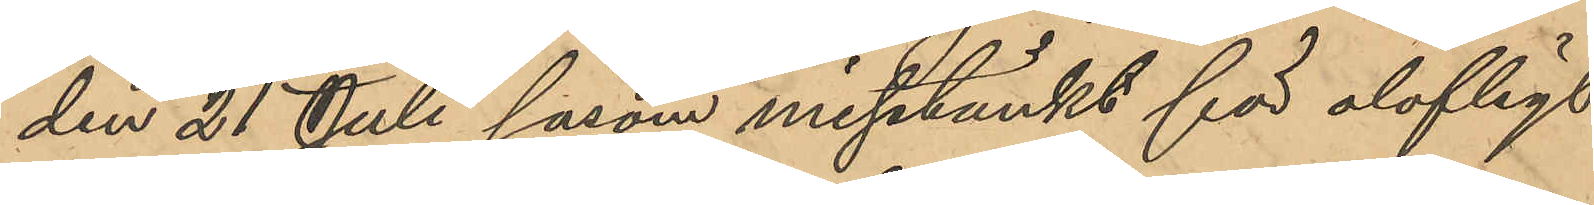den 21 Juli såsom misstänkt för olofligt
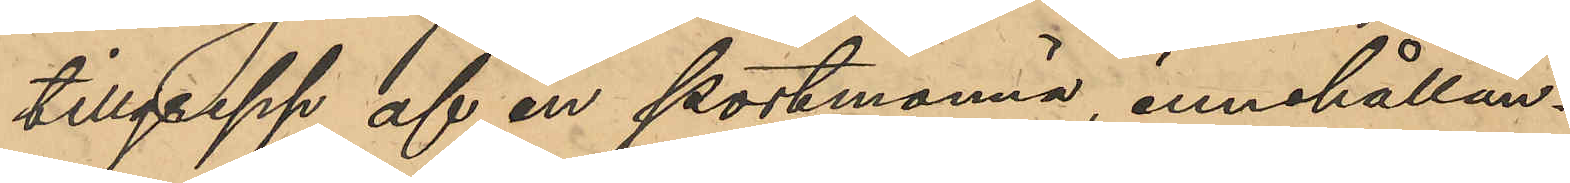tillgrepp af en portmonnä, innehållan¬
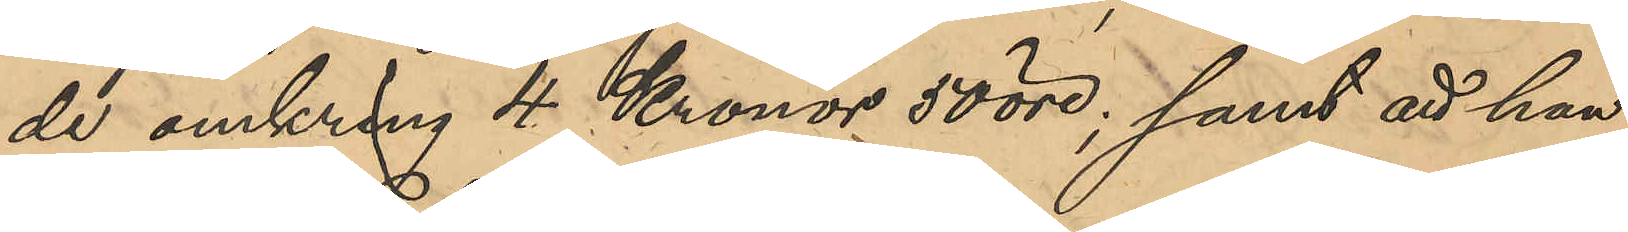de omkring 4 Kronor 50 öre; samt att han
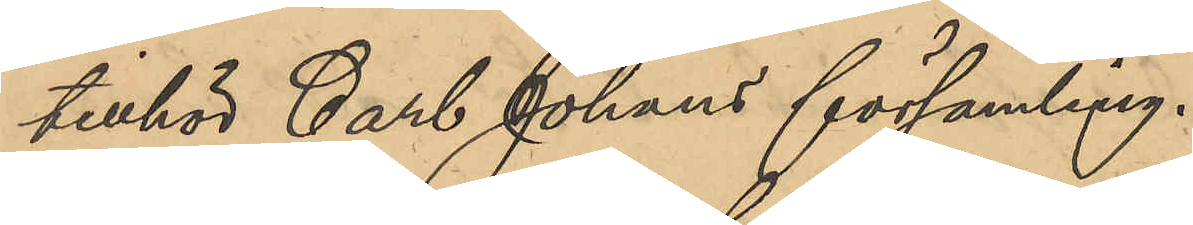tillhör Carl Johans församling.
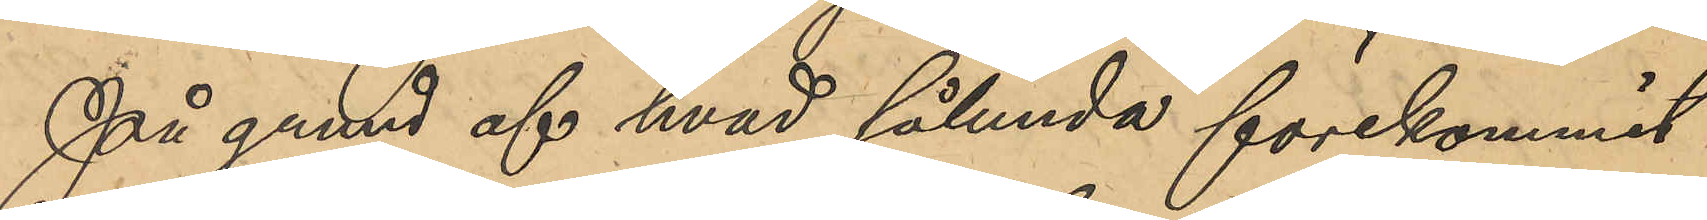På grund af hvad sålunda förekommit
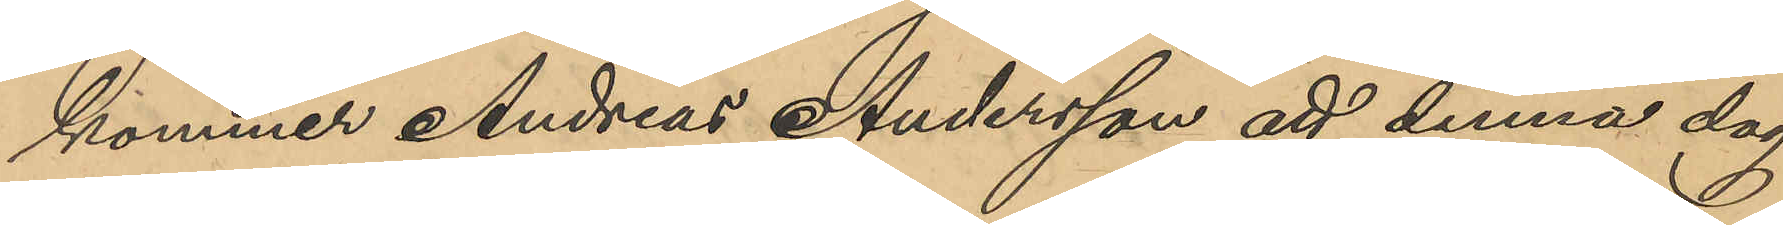kommer Andreas Andersson att denna dag
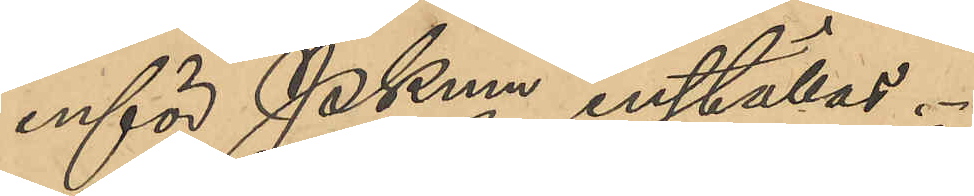inför PKmn inställas.
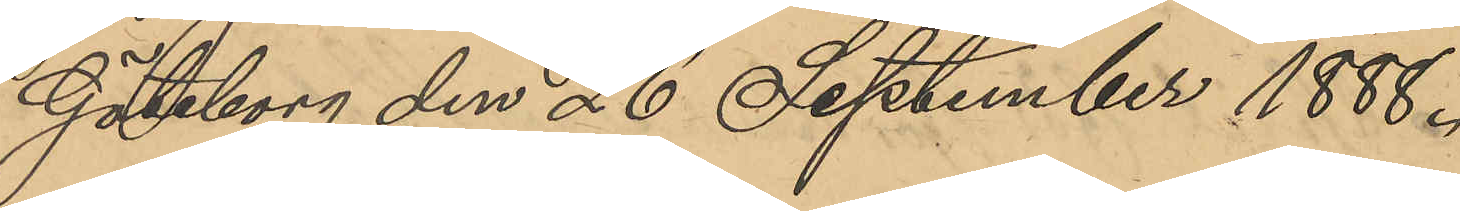Göteborg den 26 September 1888.
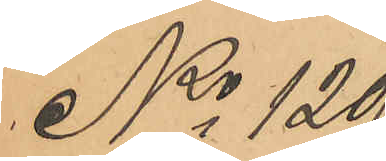No 129
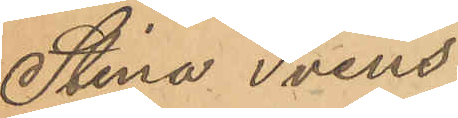Stina Svens¬
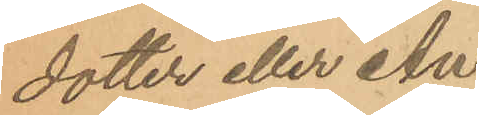dotter eller An¬
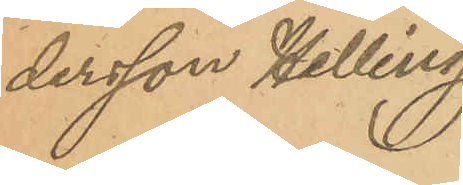dersson Helling.
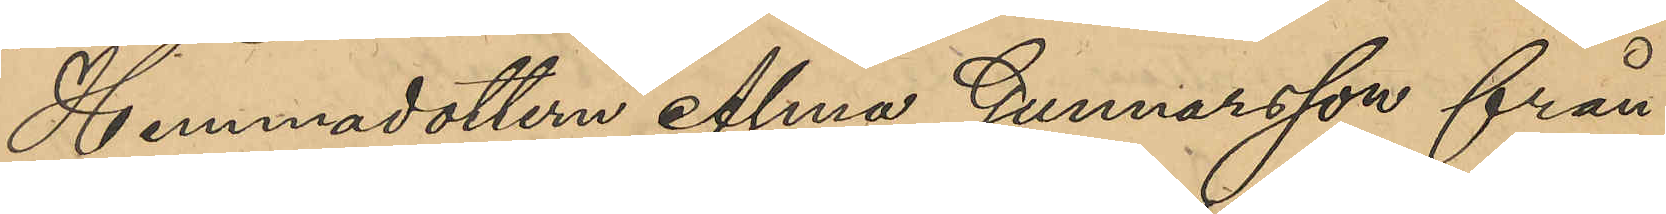Hemmadottern Alma Gunnarsson från
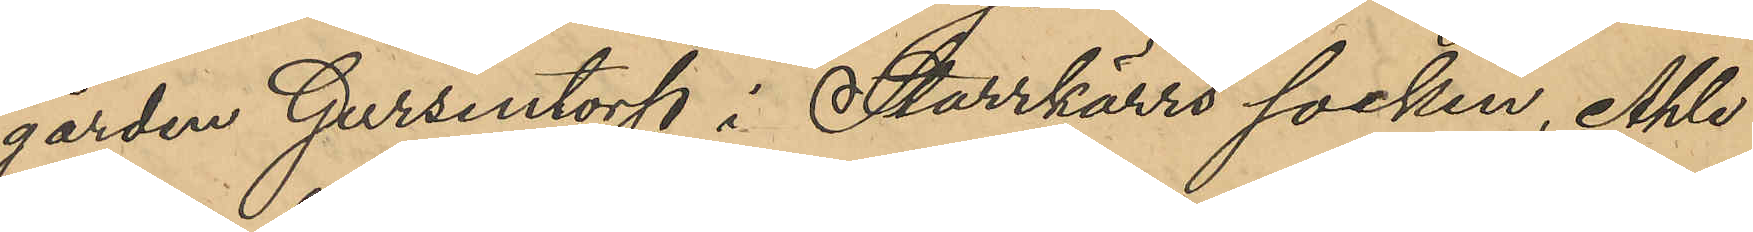gården Gursentorp i Starrkärrs socken, Ahle
